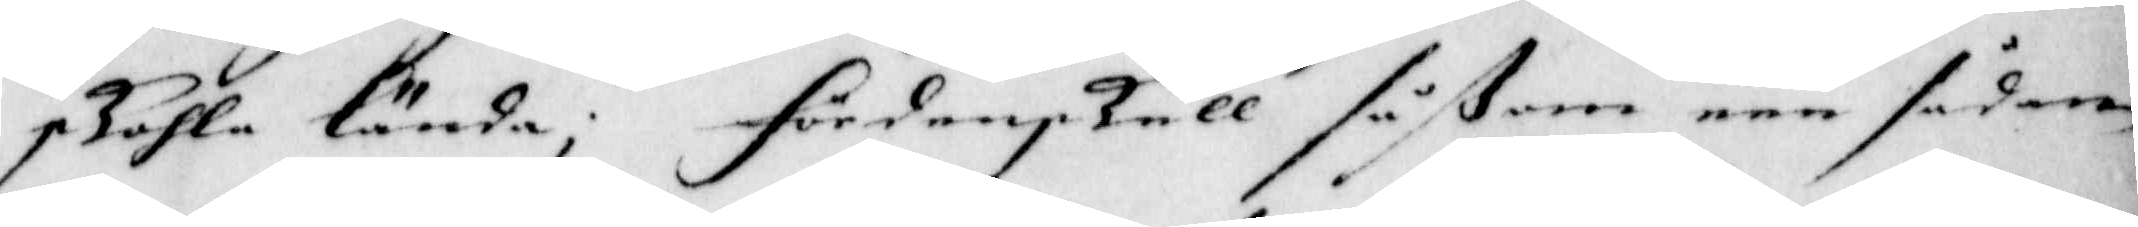skohla lända; Fördenskull såßom een sådan
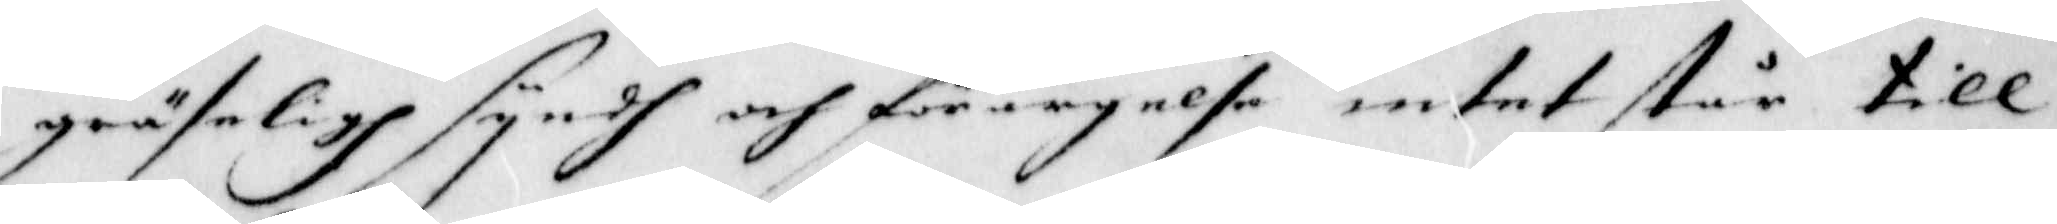gräseligh syndh och förargelse intet står till
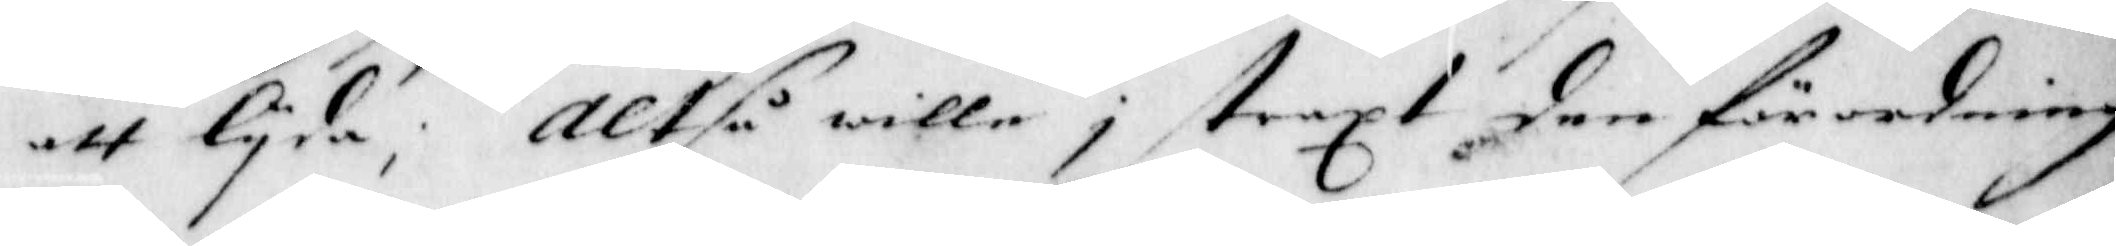att lijda; Altså wille j straxt den förordning
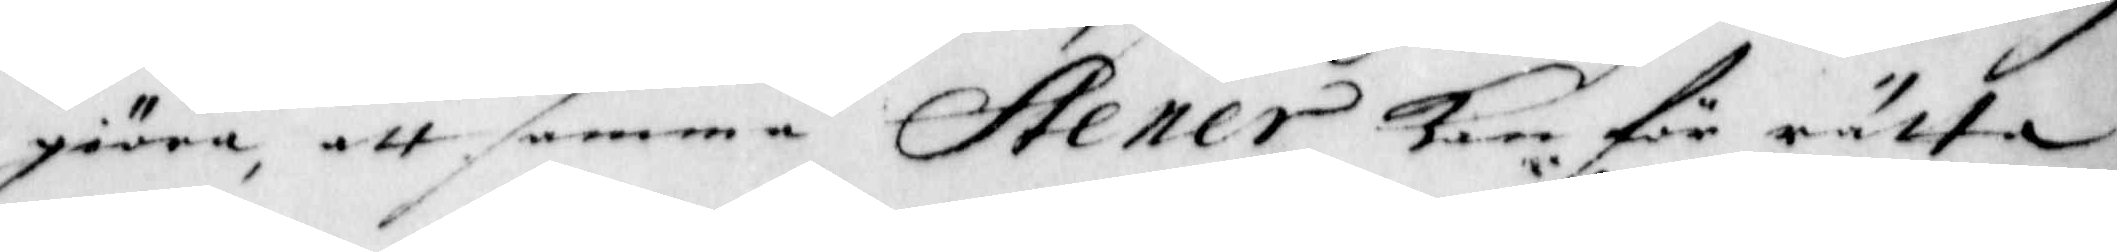giöra, att samma Stener Kan för rätta
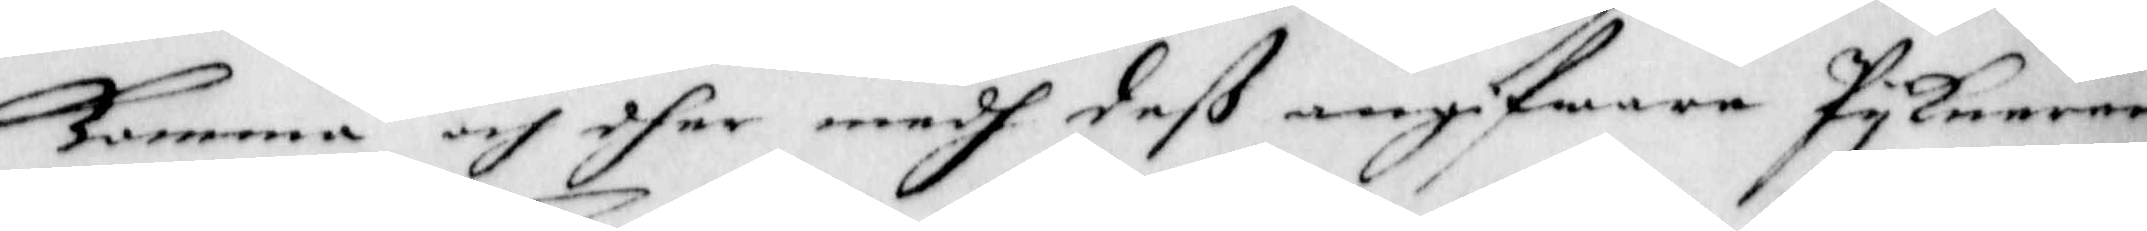Komma, och dher medh deß angifware Pijkneren
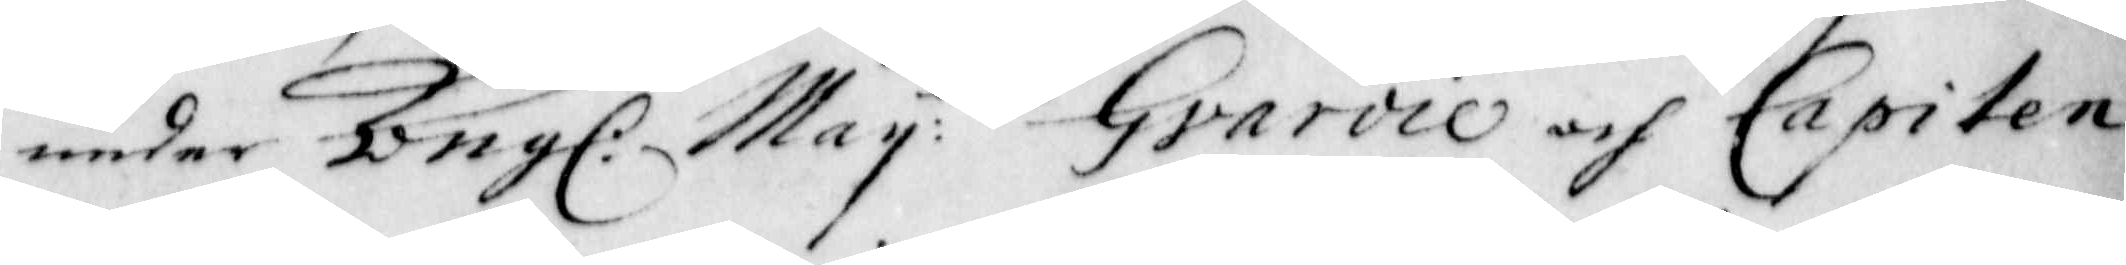under Kong. Maij:tts Gvardie och Capiten
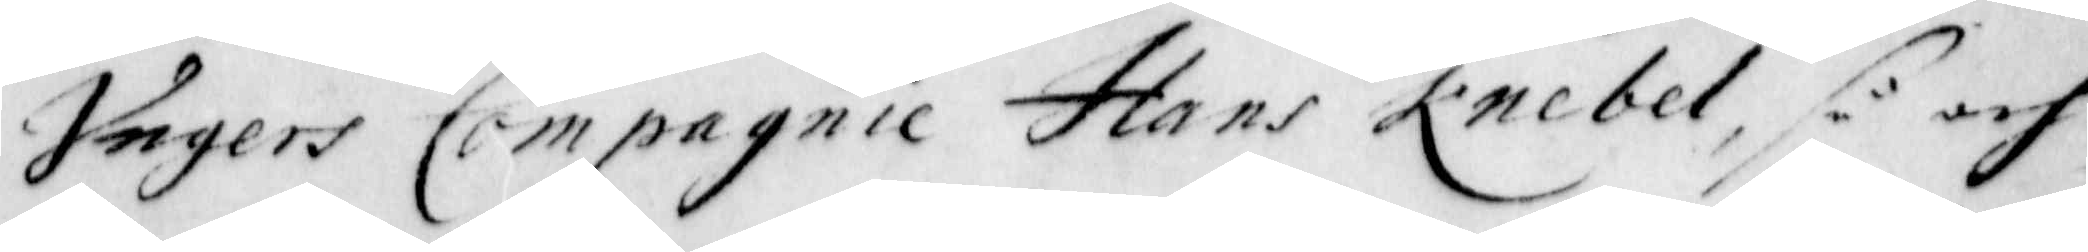Vngers Compagnie Hans Knebel, så och
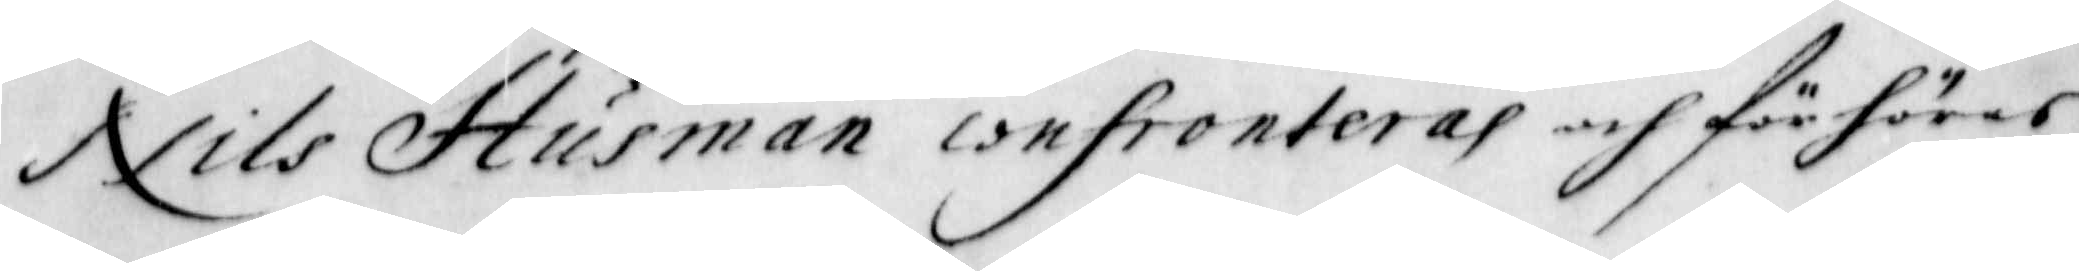Nils Husman confronteras och förhöras
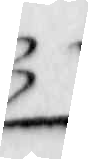och
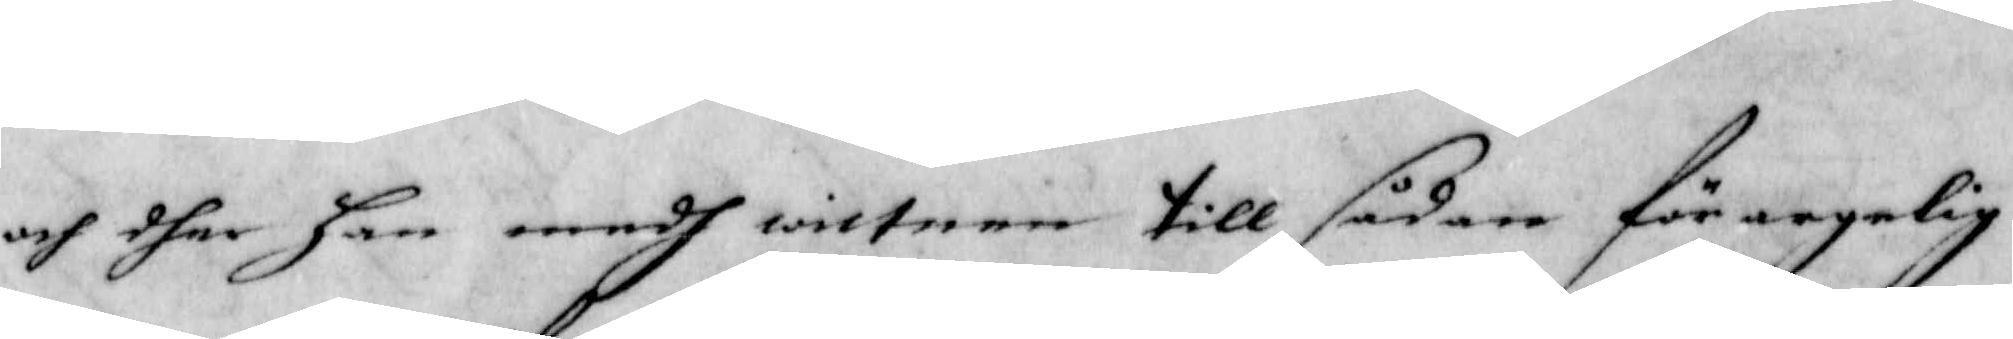och ther han medh wittnen till sådan förargelig
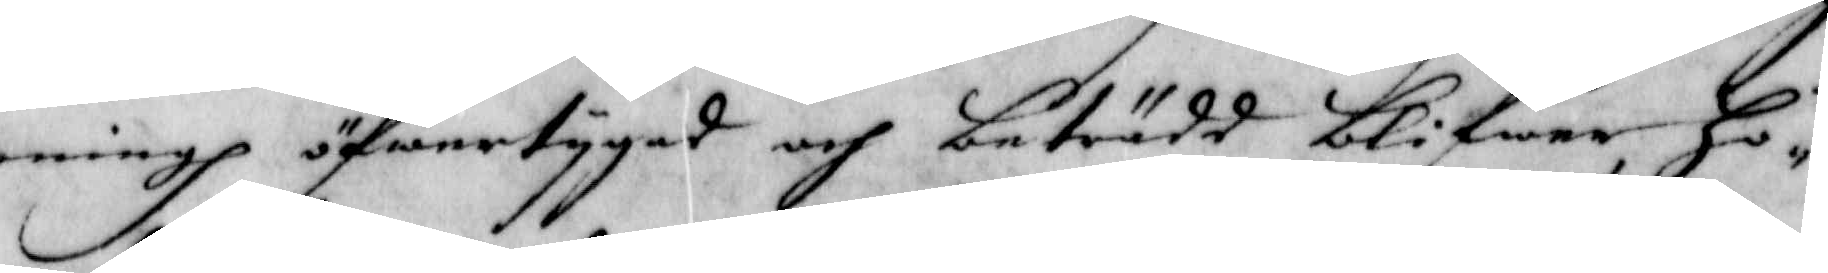gierningh öfwertygad och beträdd blifwer ho¬
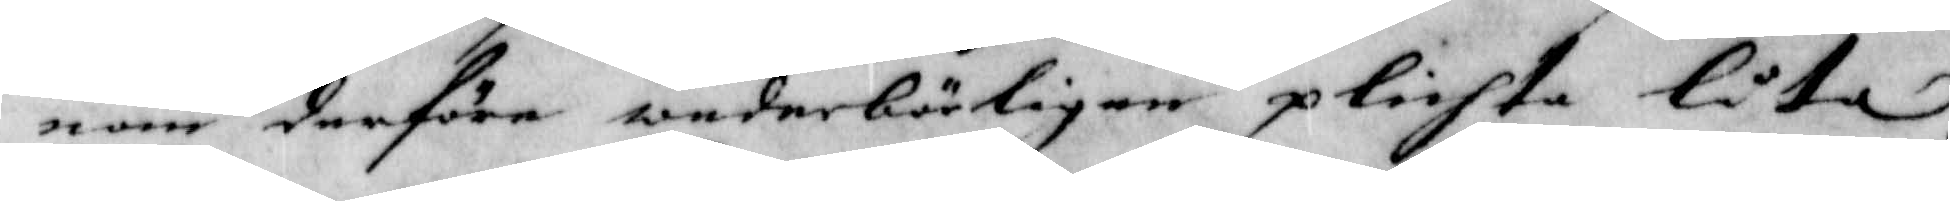nom derföre wederbörligen plichta låta.
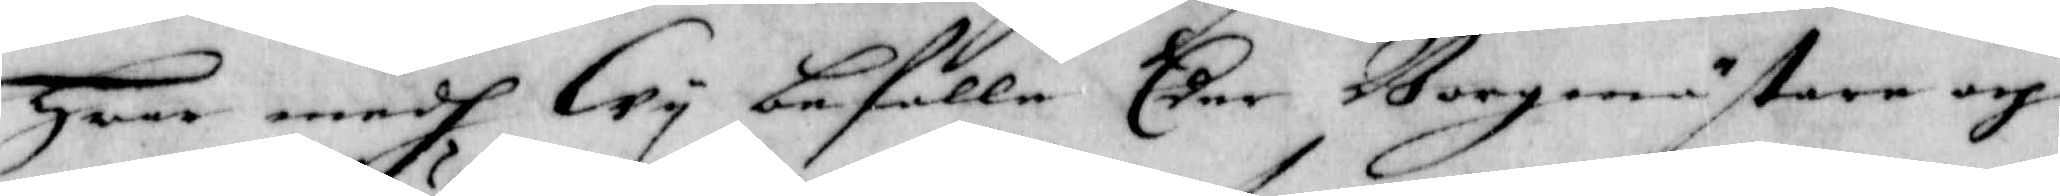Hwar medh Wij befalla Eder Borgmästare och
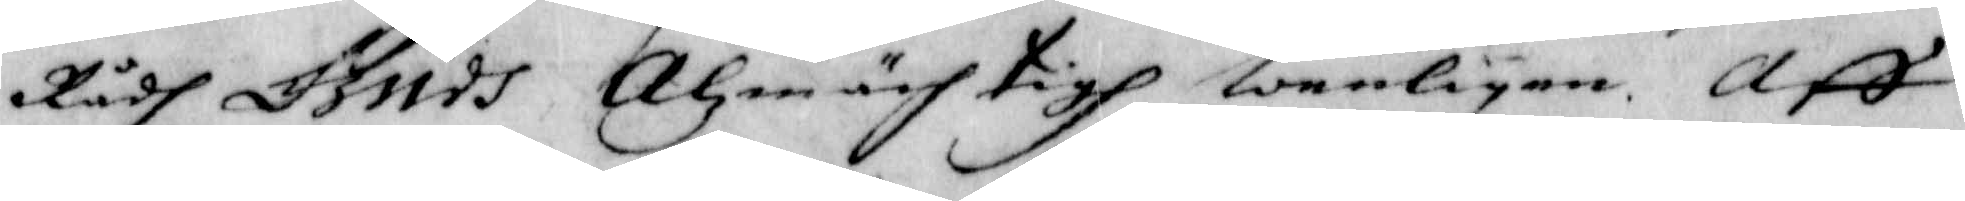Rådh Guds Alzmächtigh, Wenligen. Aff
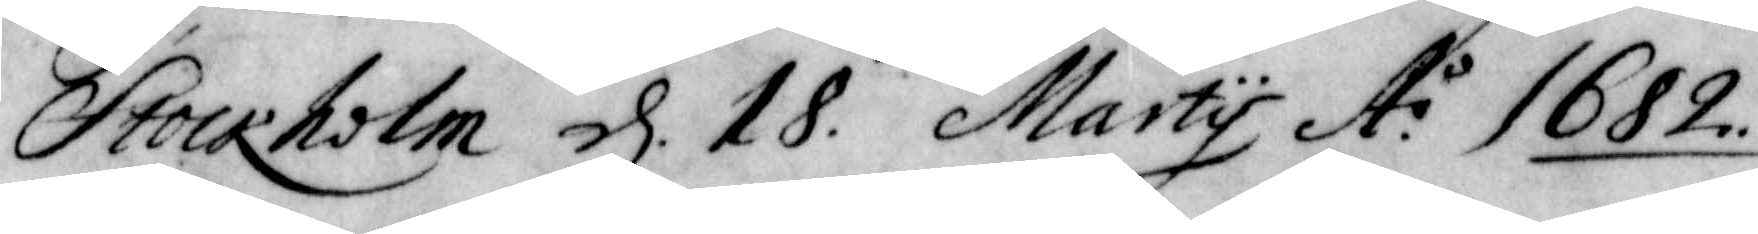Stockholm d. 18. Martij A:o 1682
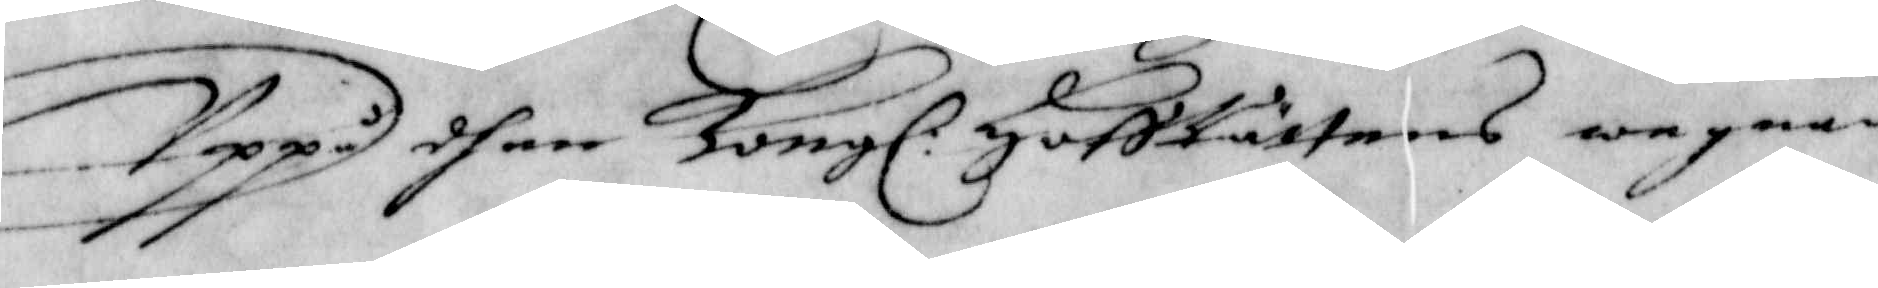Uppå dhen Kong: Hoff Rättens wegnar
